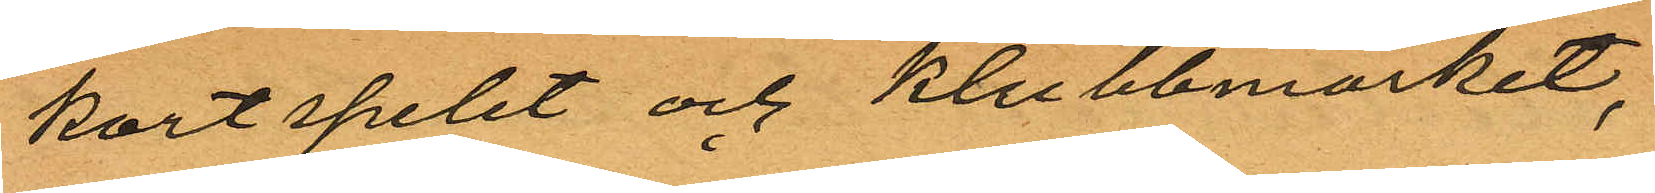kortspelet och klubbmarket,
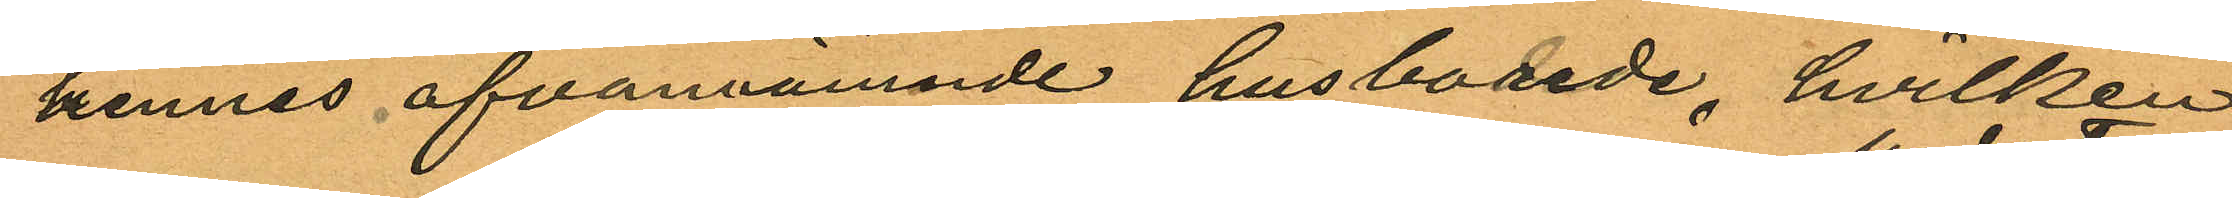hennes ofvannämnde husbonde, hvilken
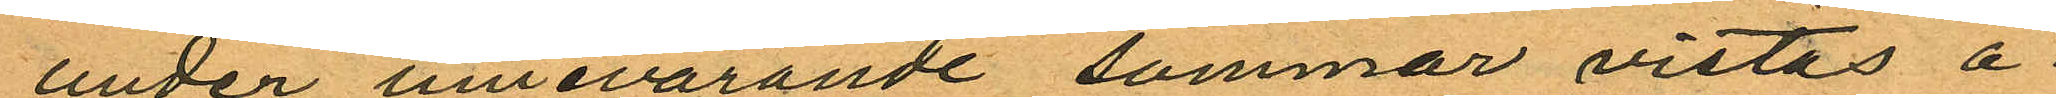under innevarande sommar vistas å
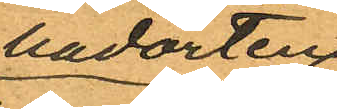badorten
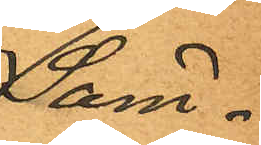Säm¬
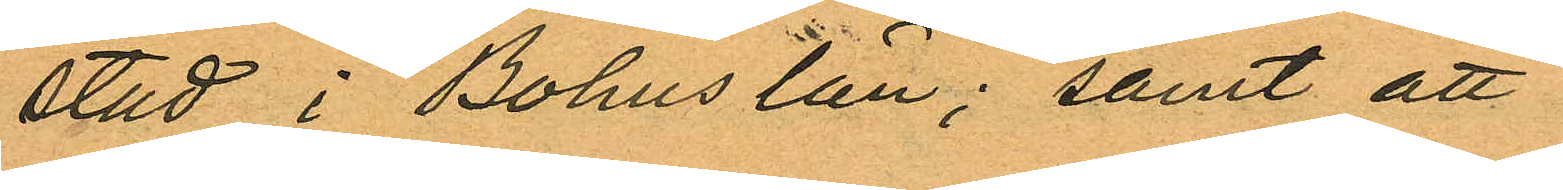stad i Bohuslän; samt att
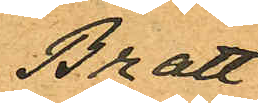Bratt
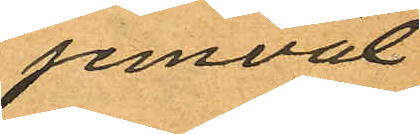jemväl
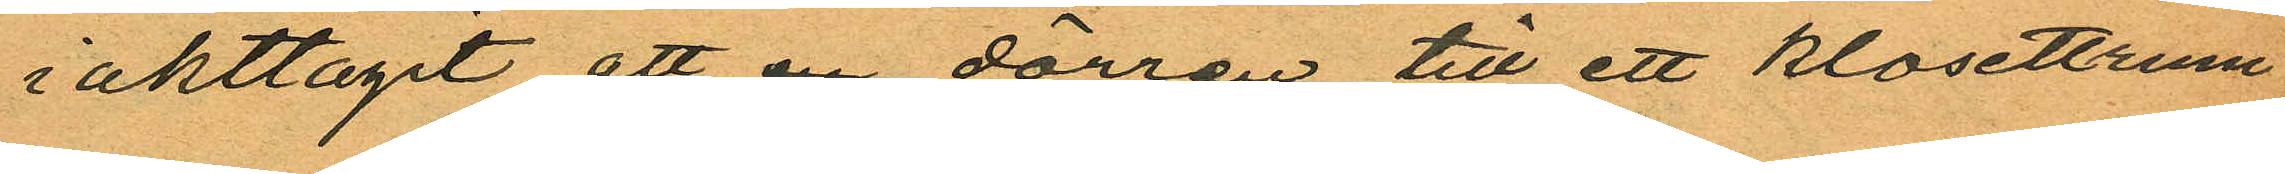iakttagit att en dörren till ett klosettrum
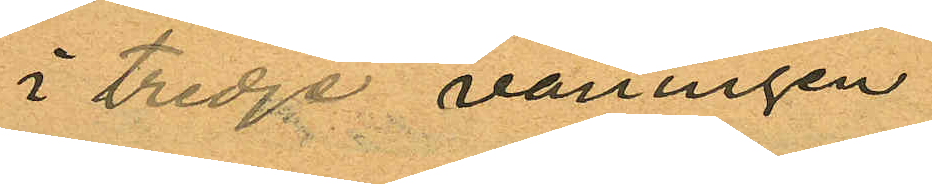i tredje våningen
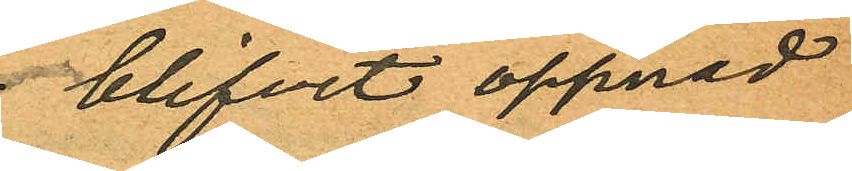blifvit öppnad
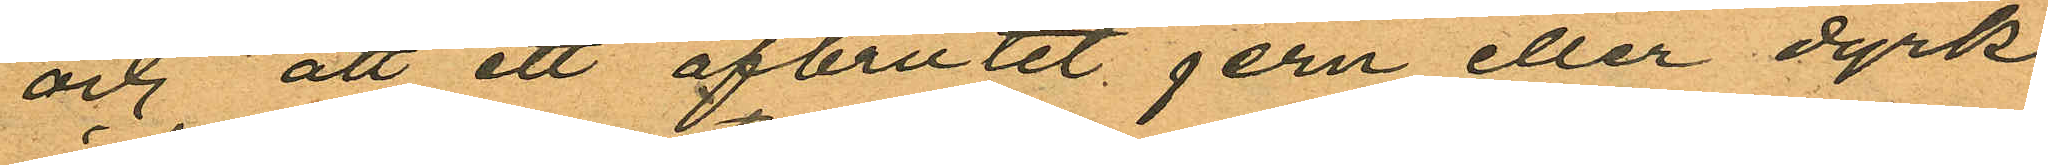och att ett afbrutit jern eller dyrk
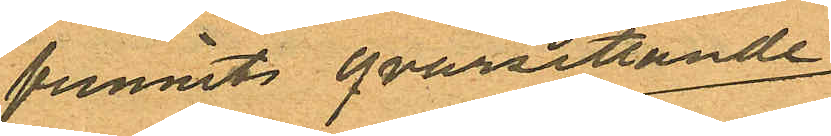funnits qvarsittande
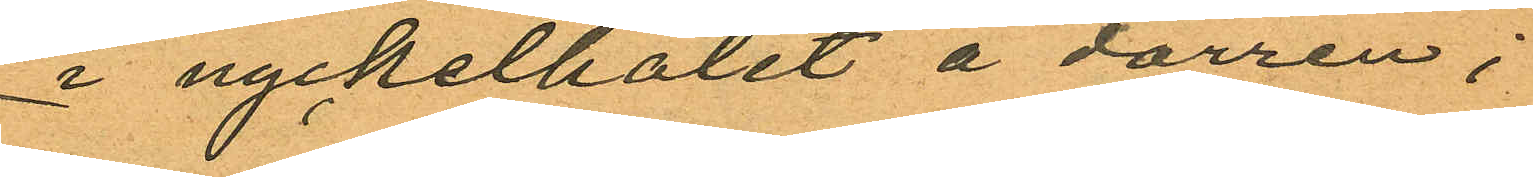i nyckelhålet å dörren;
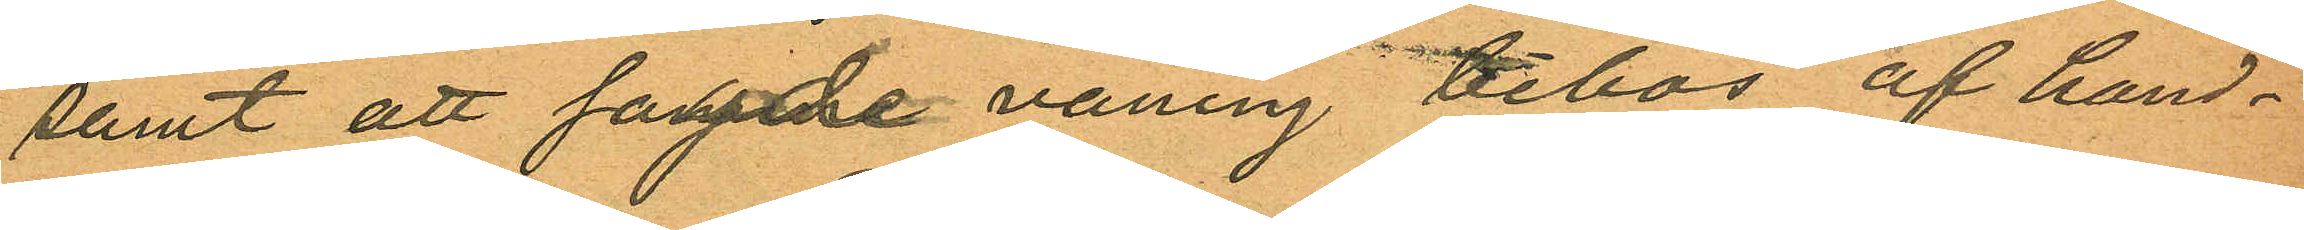samt att sagde våning bebos af hand¬
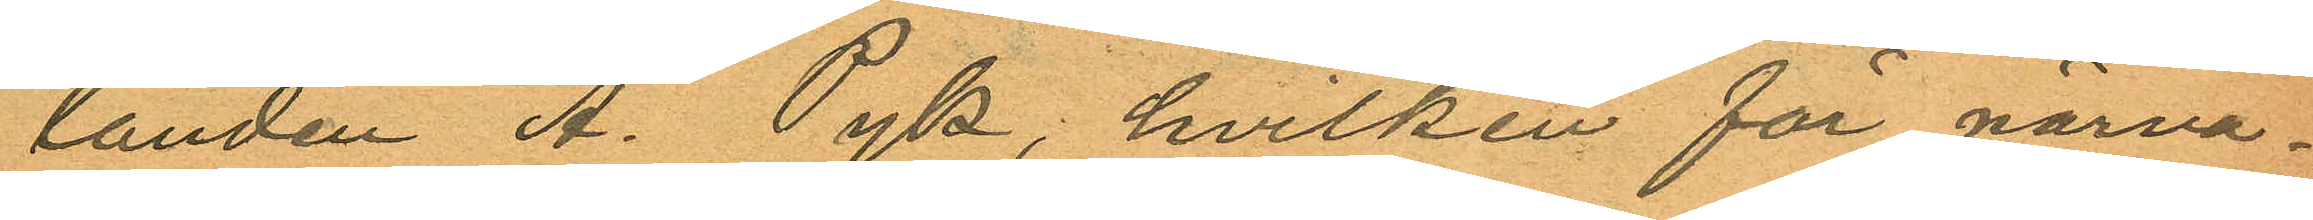landen A. Pyk, hvilken för närva¬
